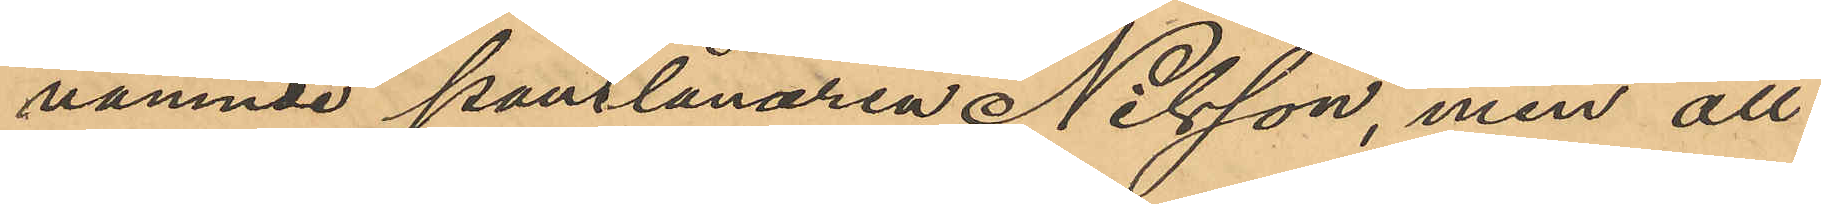nämnde pantlånaren Nilsson, men att
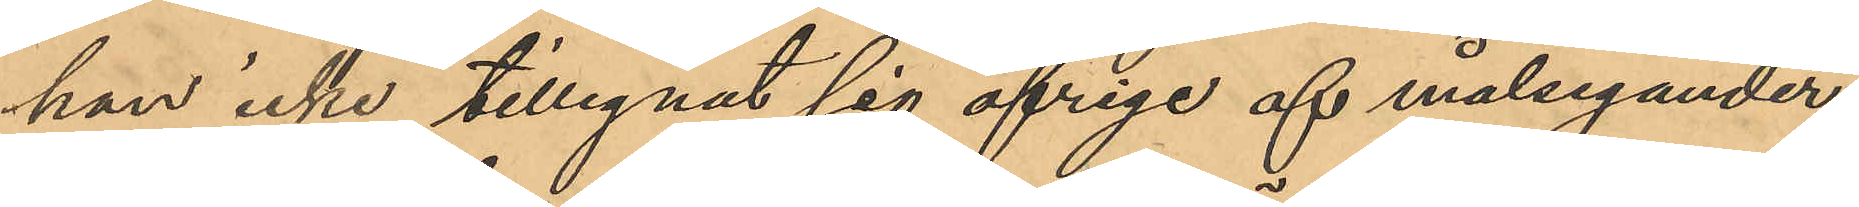han icke tillegnat sig öfriga af målsegander¬
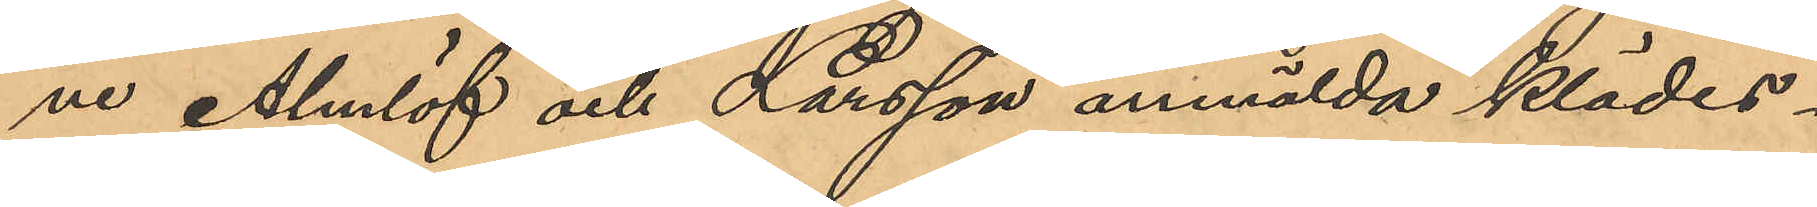ne Almlöf och Larsson anmälda klädes¬
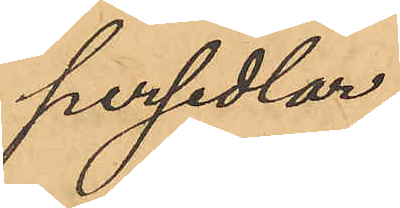persedlar;
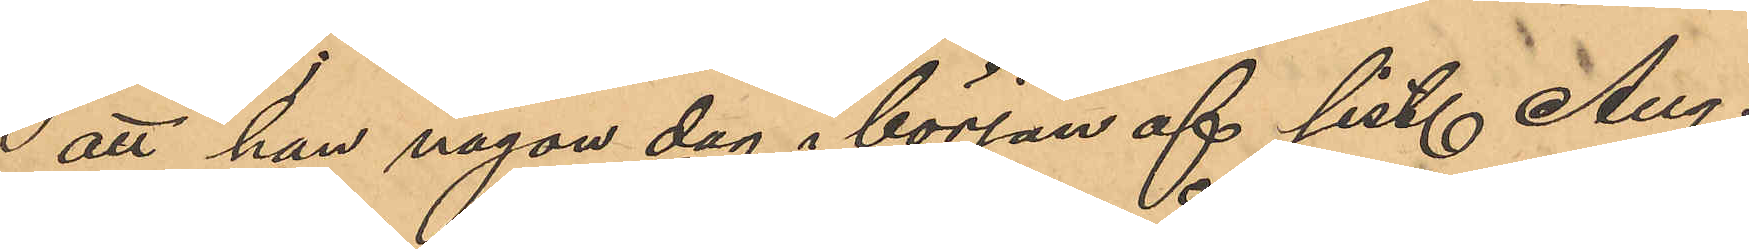att han någon dag i början af sist. Aug.
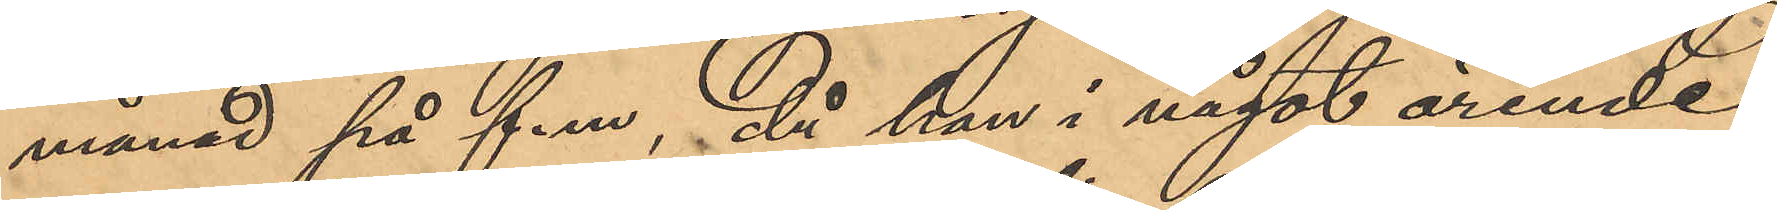månad på f.m, då han i något ärende
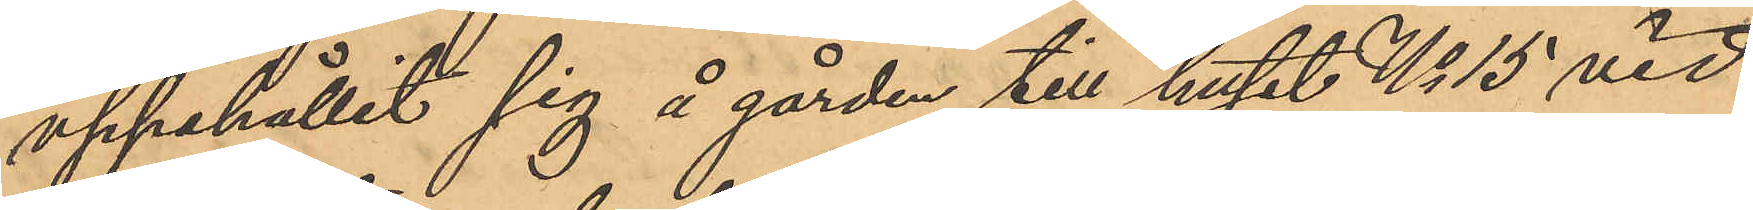uppehållit sig å gården till huset No 15 vid
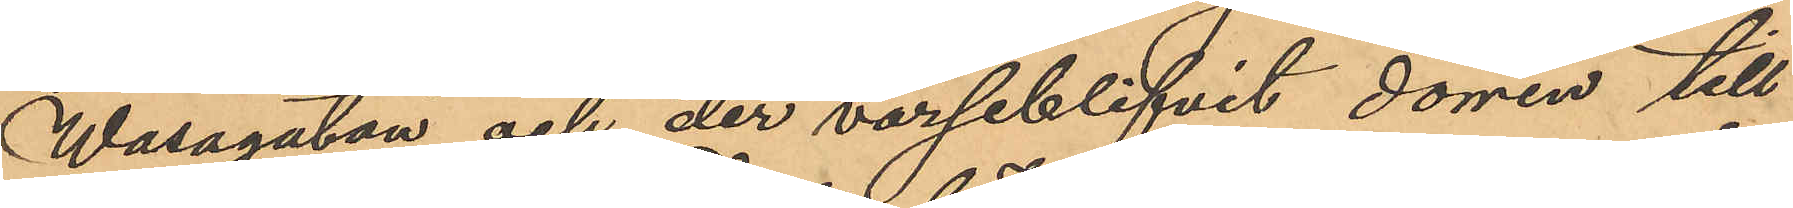Wasagatan och der varseblifvit dörren till
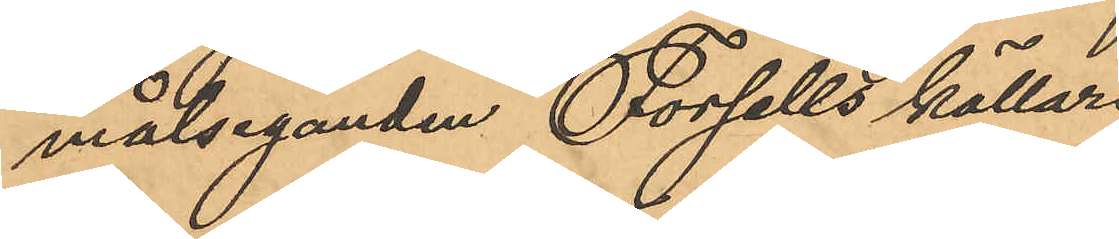målseganden Forsells källare
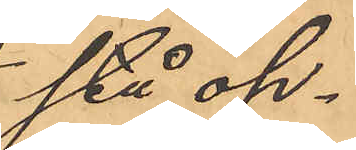stå öp¬
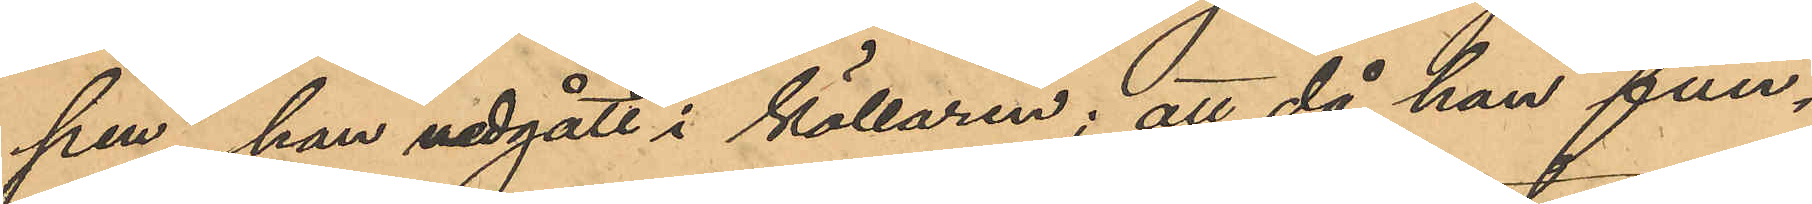pen, han nedgått i källaren; att då han fun¬
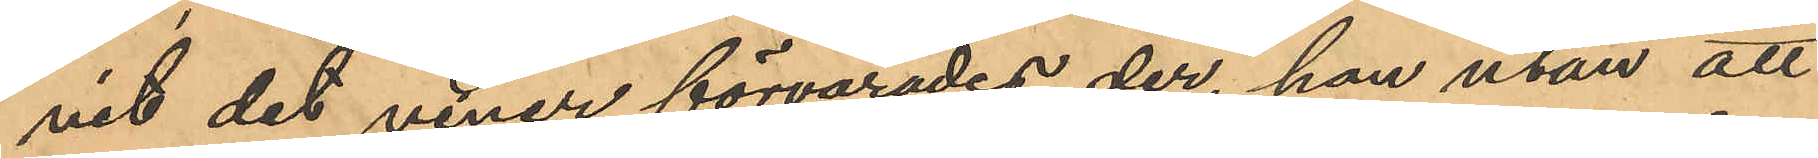nit det viner förvarades der, han utan att
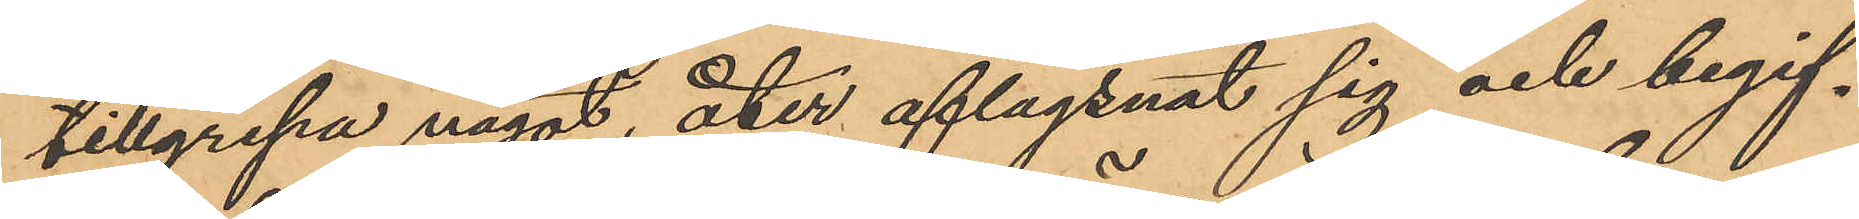tillgripa något, åter aflägsnat sig och begif¬
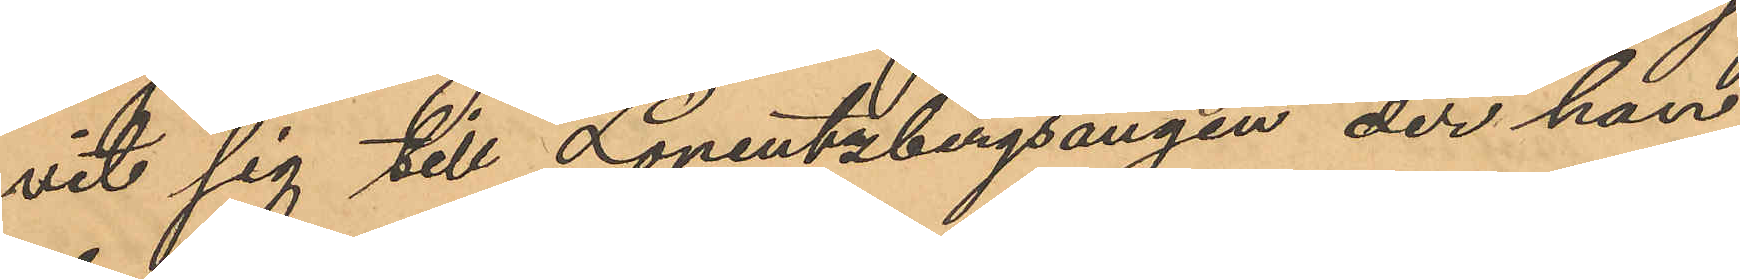vit sig till Lorentzbergsängen der han
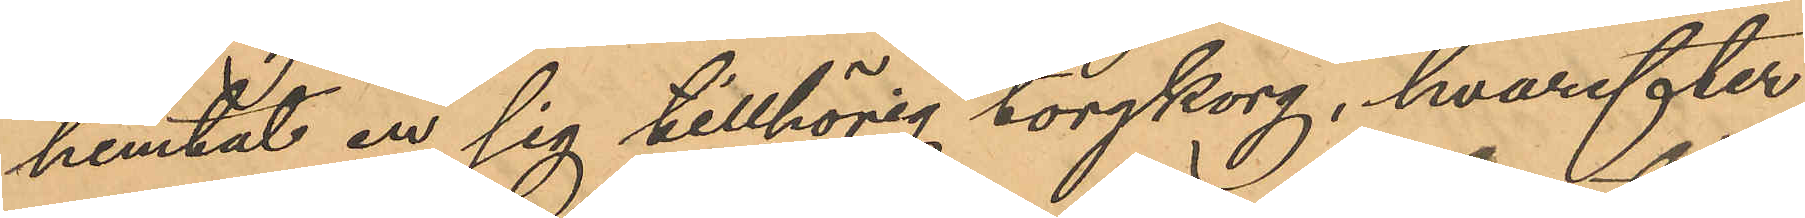hemtat en sig tillhörig torgkorg, hvarefter
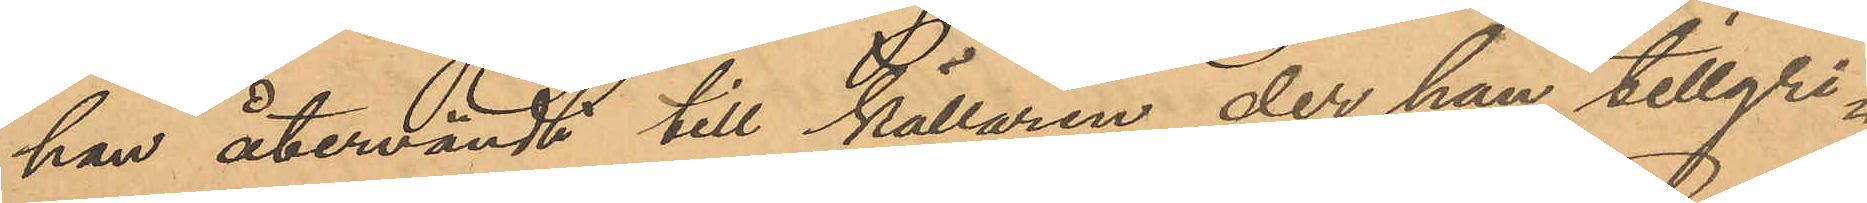han återvändt till källaren der han tillgri¬
